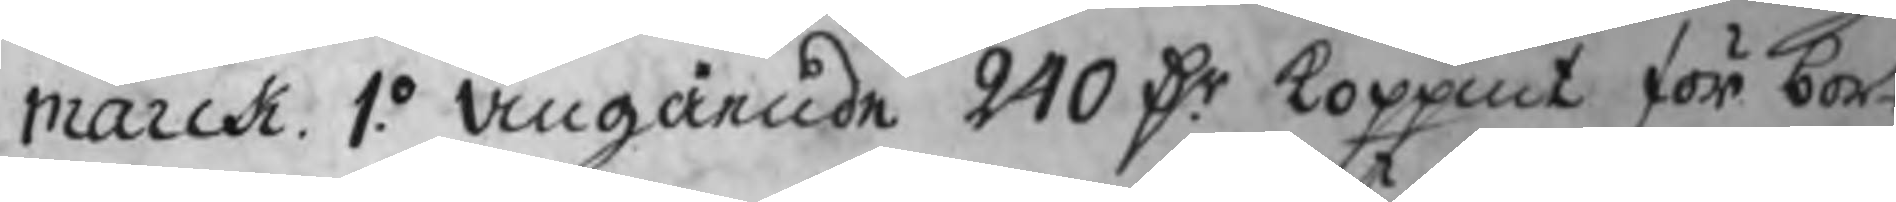marck 1.o angående 240 Dr koppmt för bort
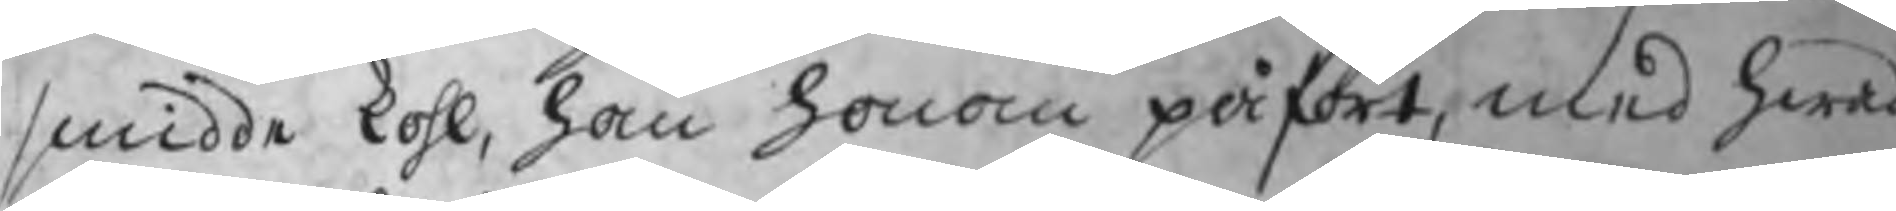smidde kohl, han honom påfört, med hwad
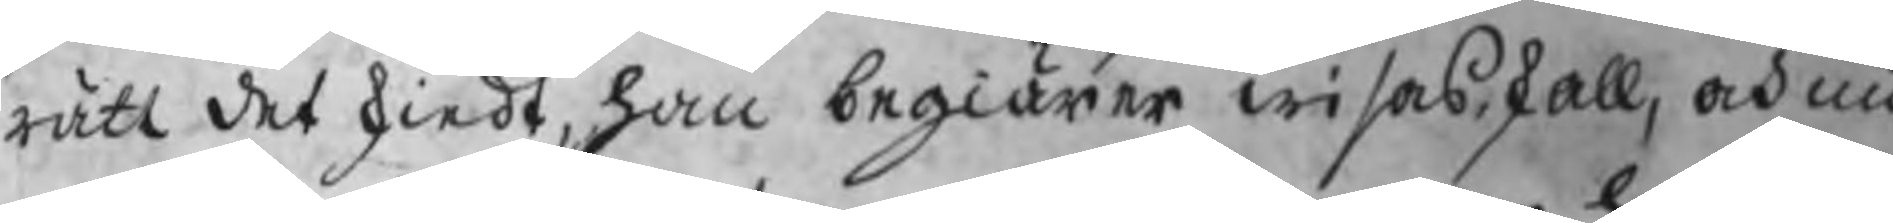rätt det skiedt, han begiärer wisas skall, och nu
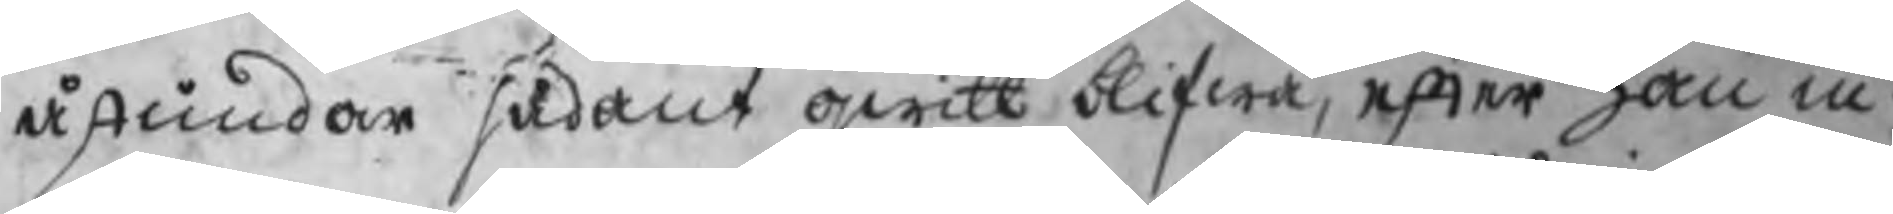åstundar sådant qwitt blifwa, efter han in¬
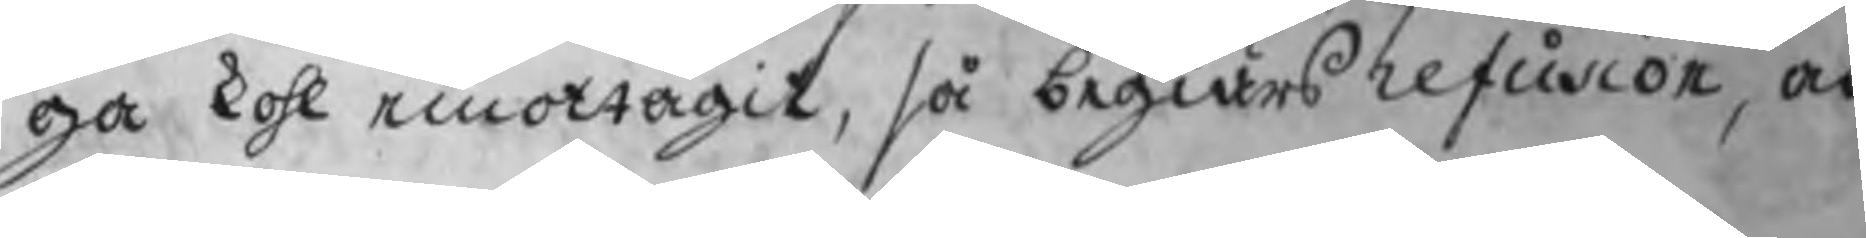ga kohl emottagit, så begiärs refusion, och
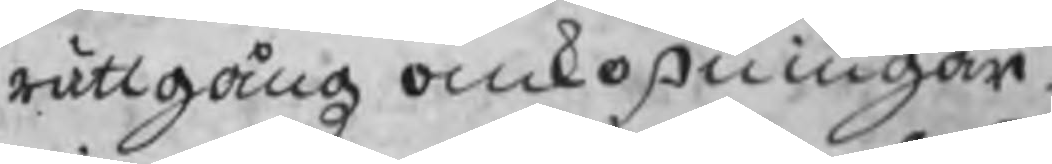rättgångz omkostningar.
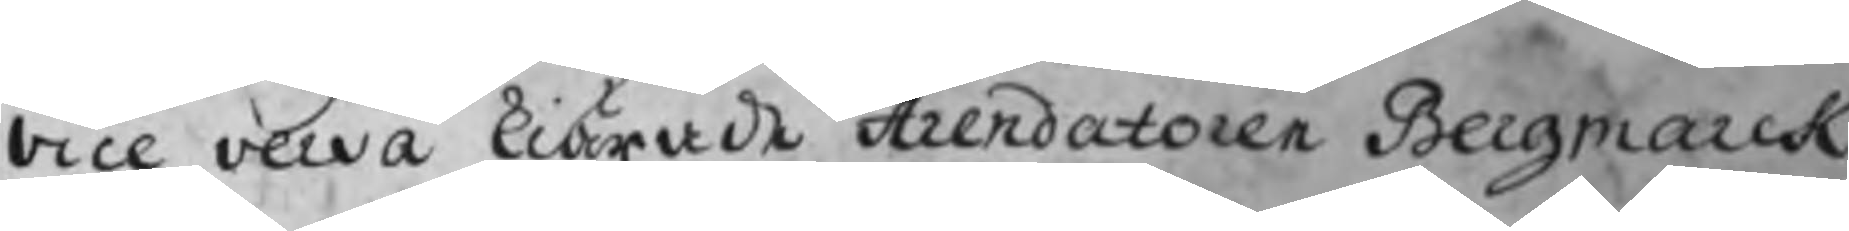Vice versa kiärade Arendatoren Bergmarck
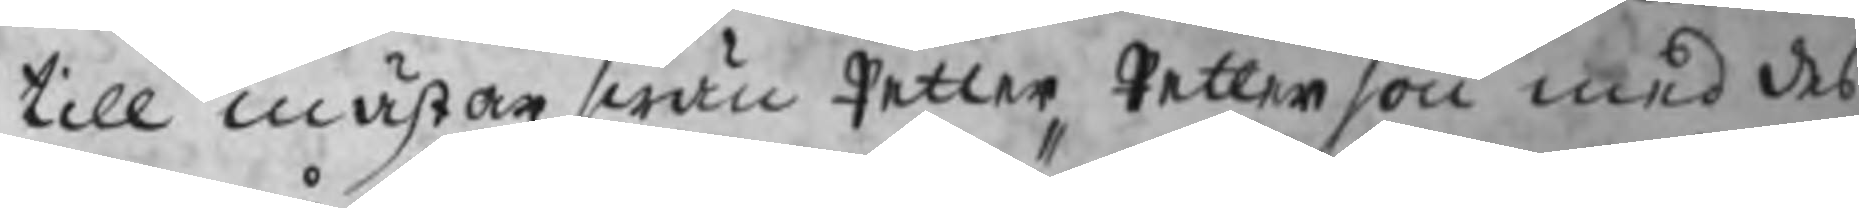till mästerswän Petter Petterson med des
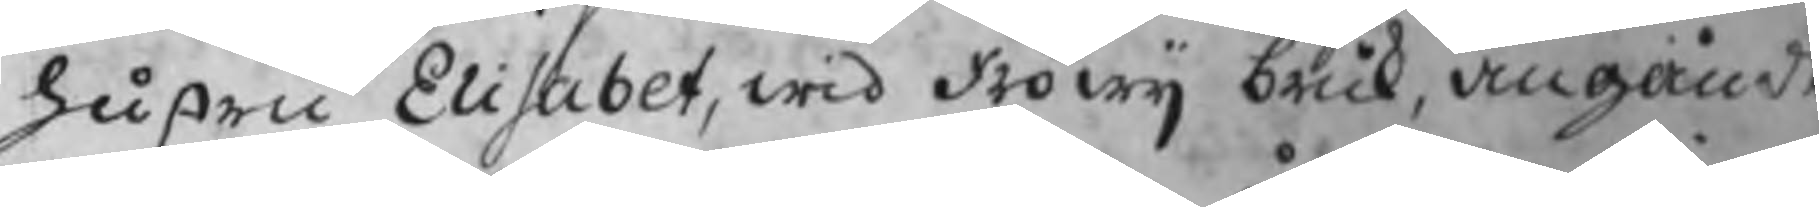hustru Elisabet, wid Fröwij bruk, angående
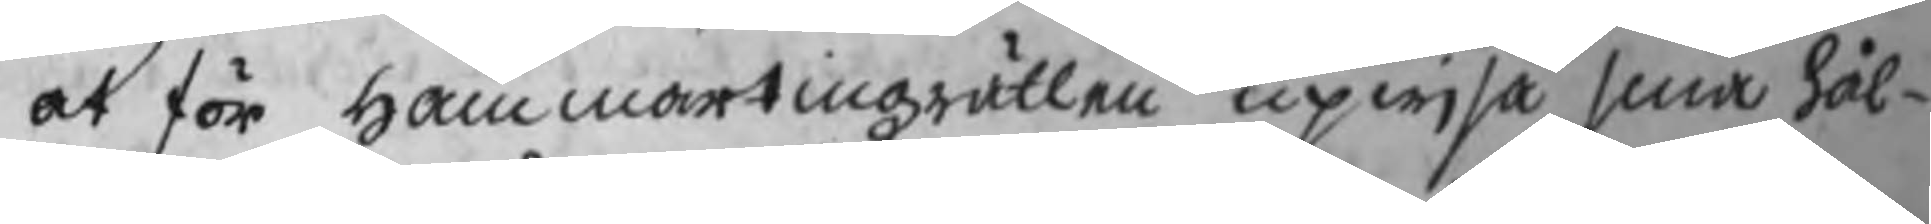at för hammartingzrätten upwisa sina hål-
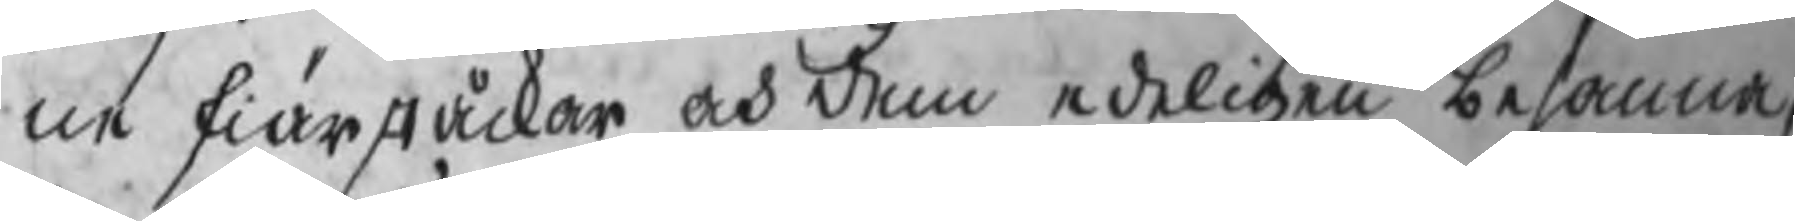ne skiärståckar och dem edeligen besanna,
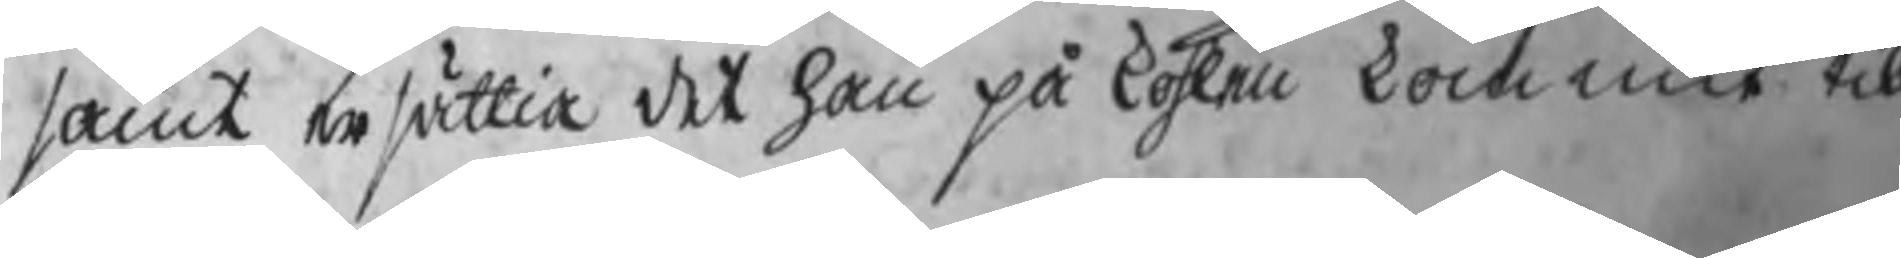samt ersättia det han på kohlen kommit till
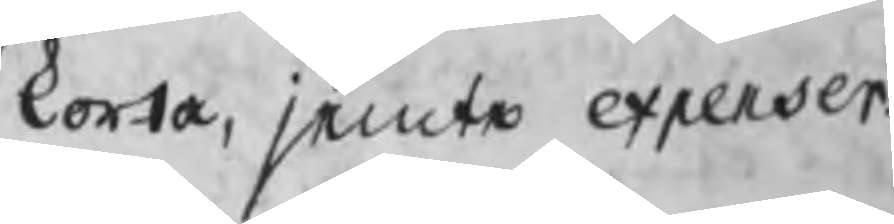korta, jemte expenser.
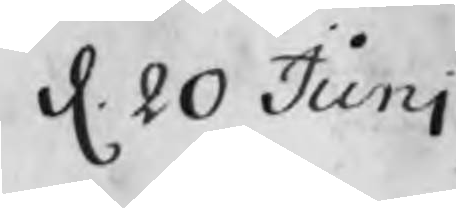d. 20 Junj
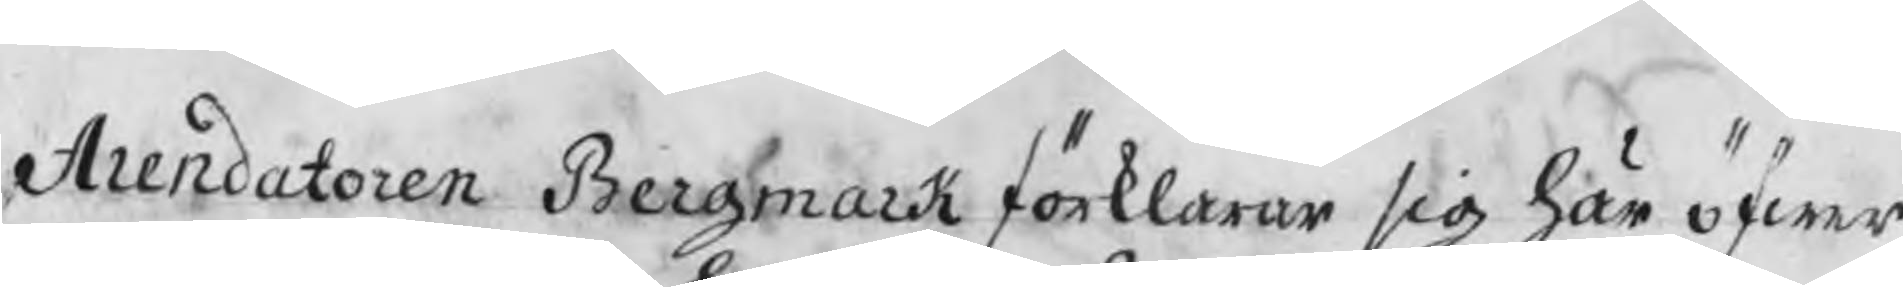Arendatoren Bergmark förklarar sig häröfwer
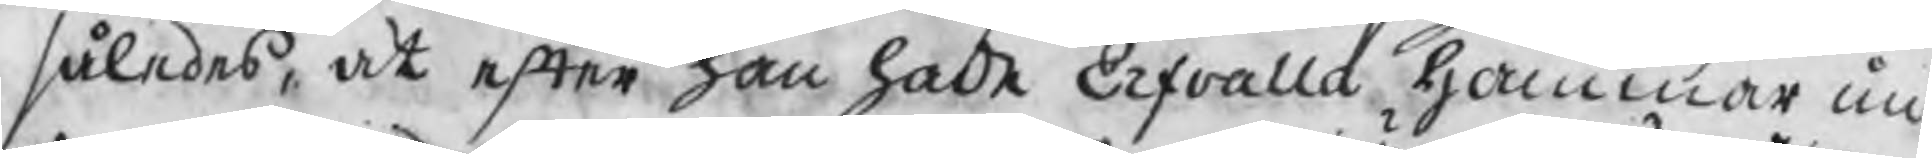således, at efter han hade Erfvalla hammar un¬
